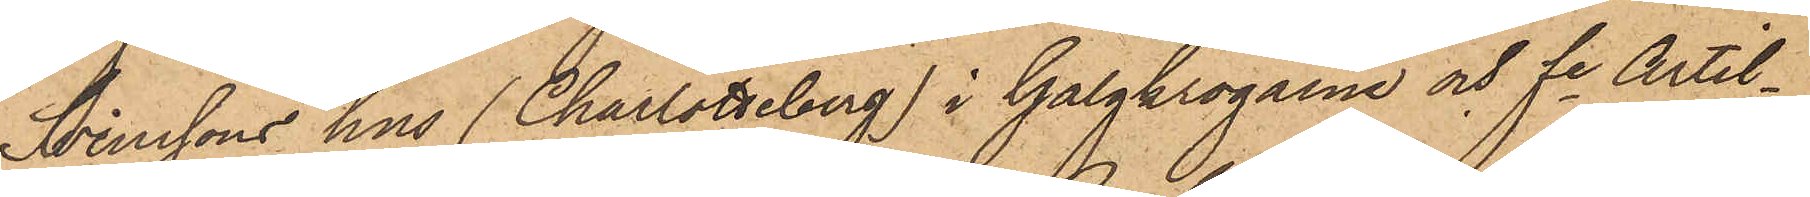Svenssons hus (Charlotteberg) i Galgkrogarne och fe Artil¬
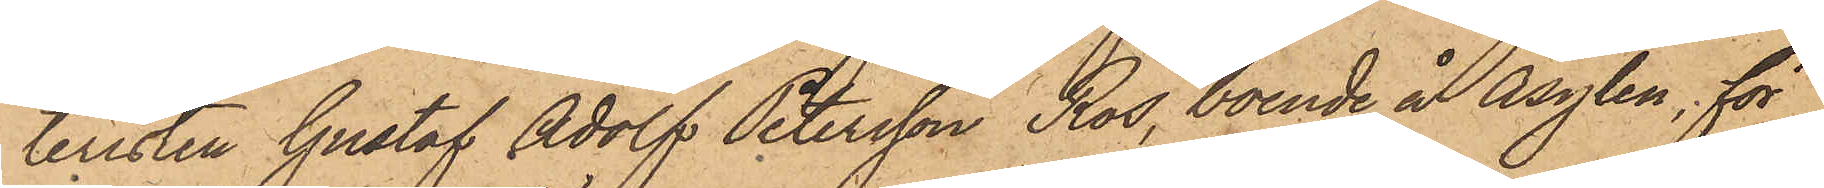teristen Gustaf Adolf Petersson Ros, boende å Asylen, för
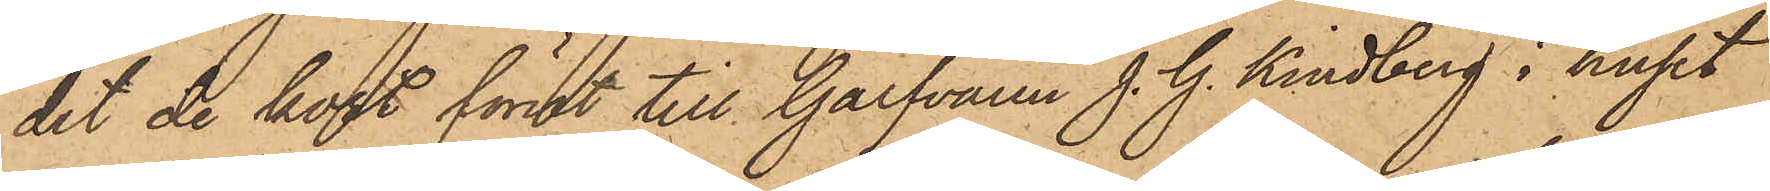det de kort förut till Garfvaren J. G. Kindberg i huset
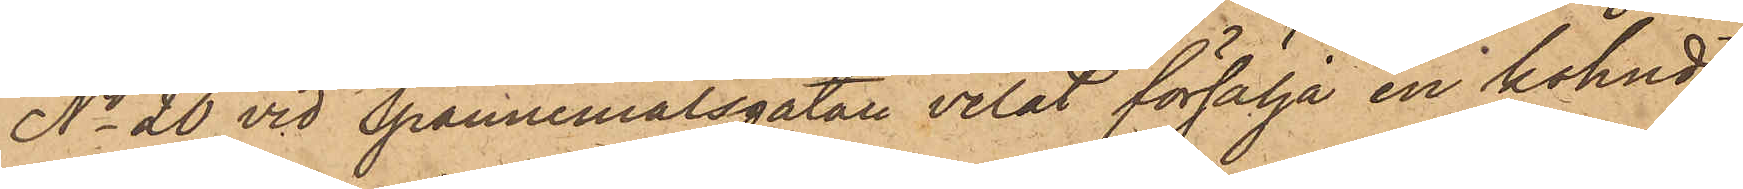No 20 vid Spannemålsgatan velat försälja en kohud,
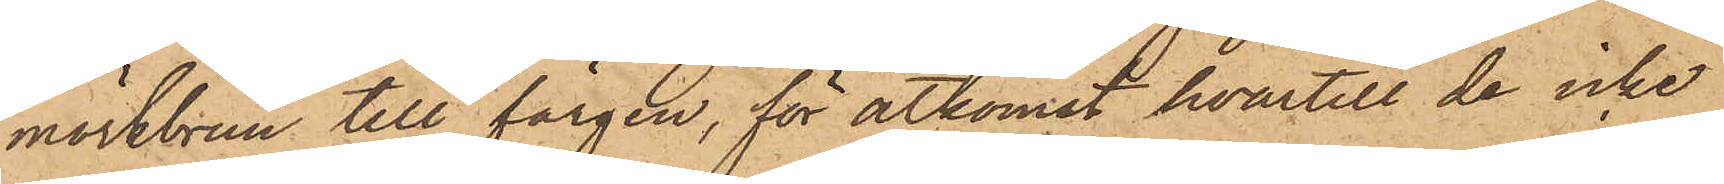mörkbrun till färgen, för åtkomst hvartill de icke
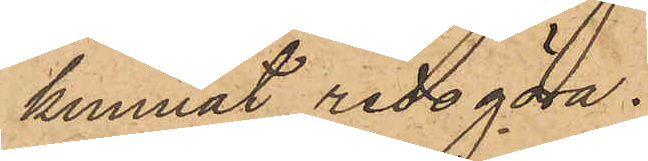kunnat redogöra.
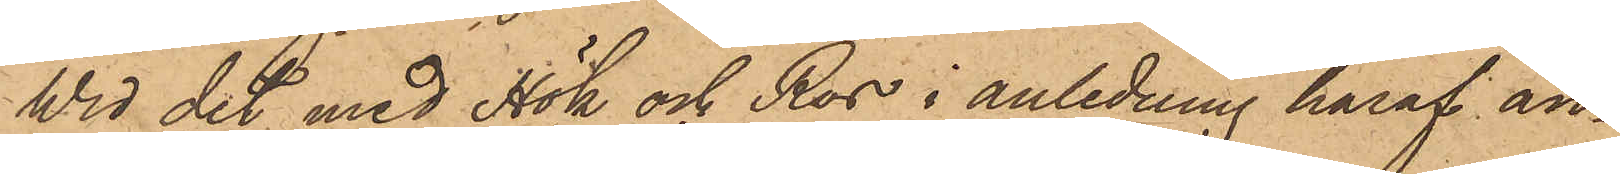Wid det med Hök och Ros i anledning häraf an¬
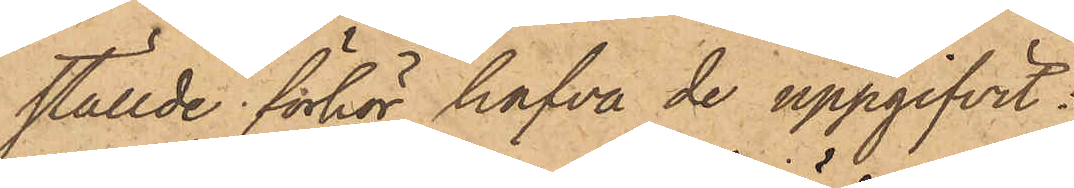ställde förhör hafva de uppgifvit:
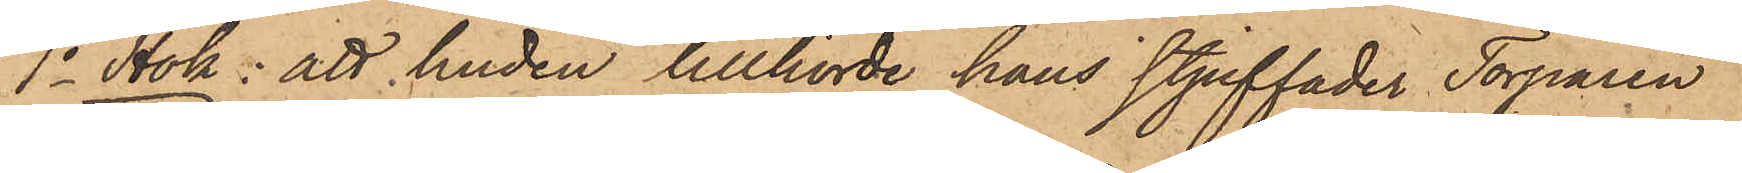1o Hök: att huden tillhörde hans stjuffader Torparen
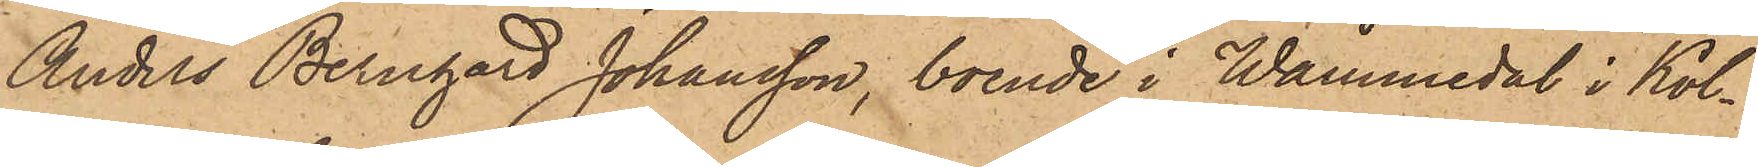Anders Bernhard Johansson, boende i Wåmmedal i Kol¬
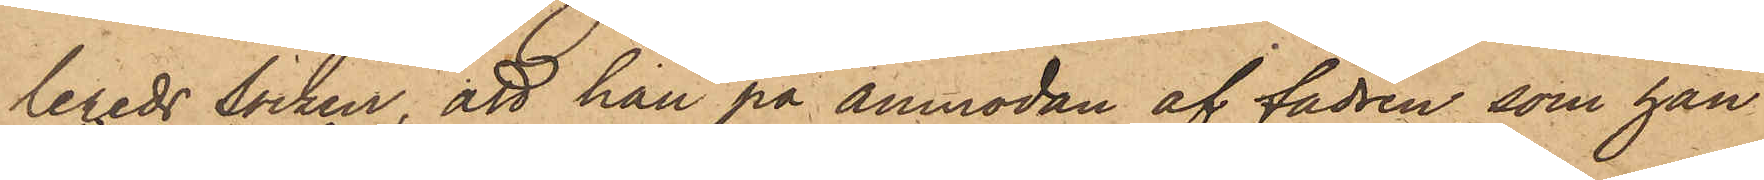lereds socken, att han på anmodan af fadren, som han
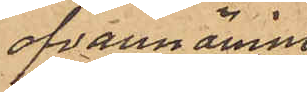ofvannämnde
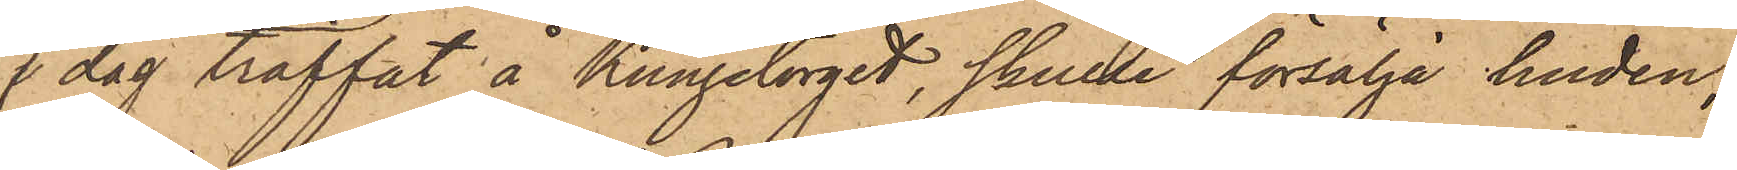dag träffat å Kungstorget, skulle försälja huden;
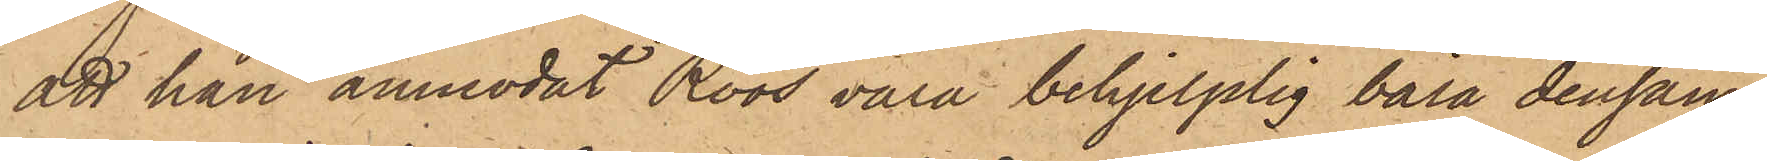att han anmodat Roos vara behjelplig bära densam¬
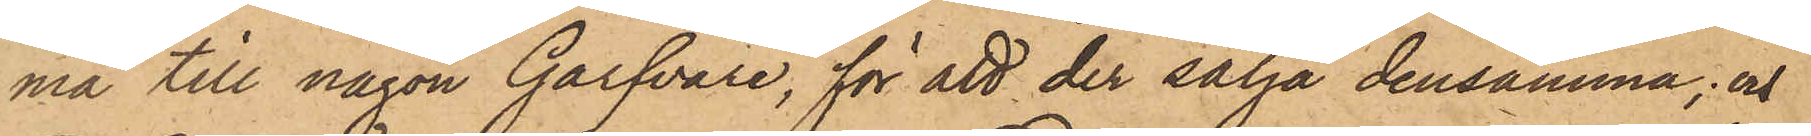ma till någon Garfvare, för att der sälja densamma; och
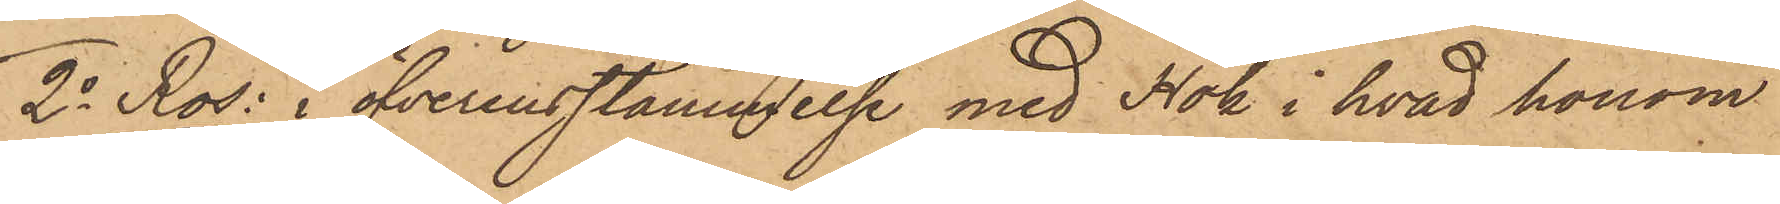2o Ros: i öfverensstämmelse med Hök i hvad honom
